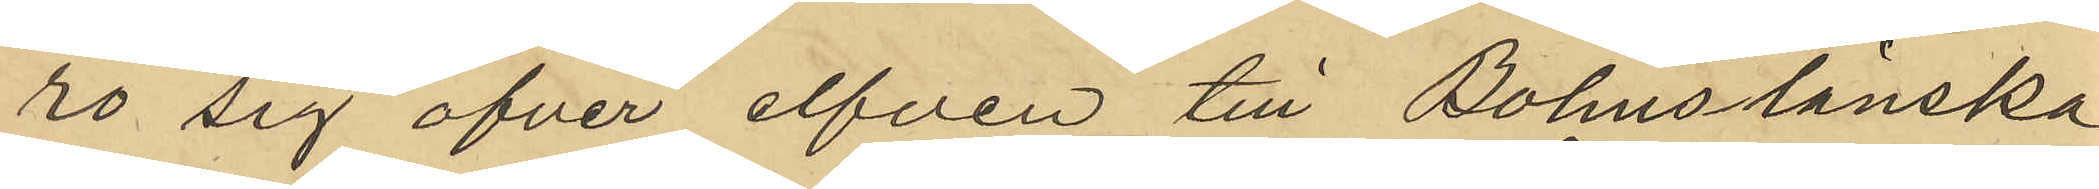ro sig öfver elfven till Bohuslänska
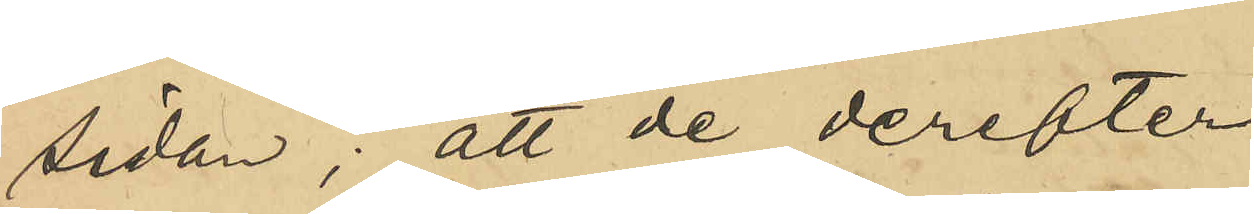sidan; att de derefter
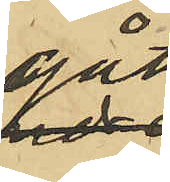gått
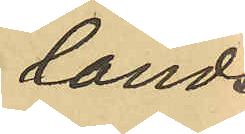lands¬
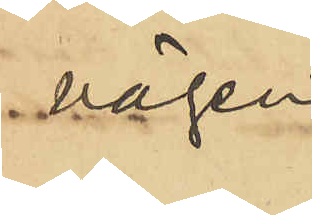vägen
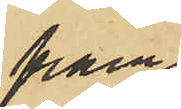fram
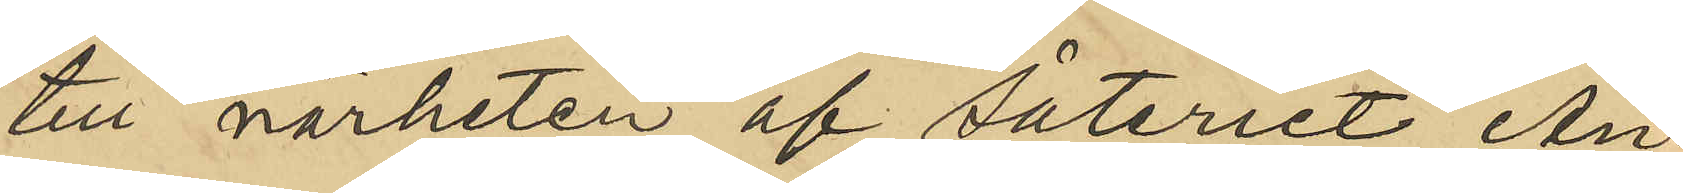till närheten af säteriet An¬
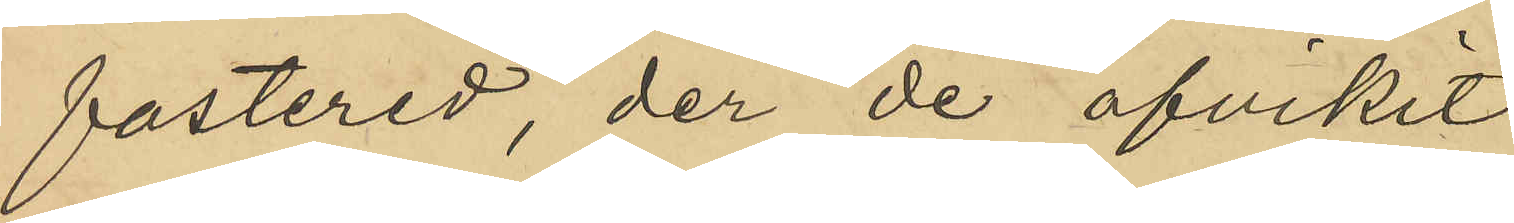fastered, de de afvikit
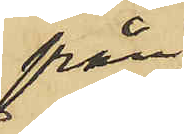från
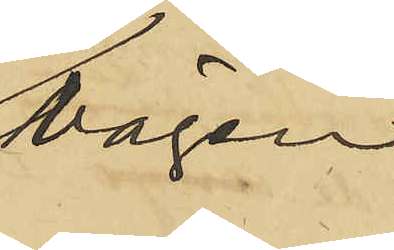vägen
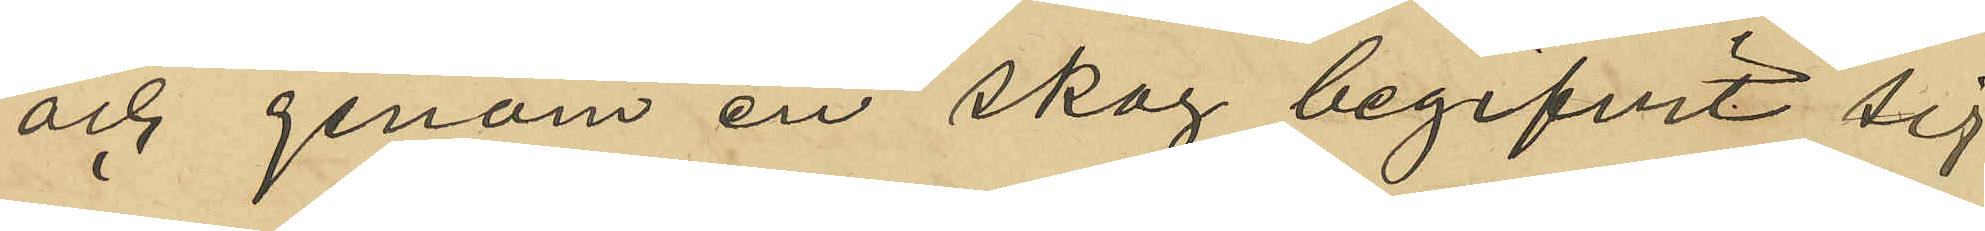och genom en skog begifvit sig
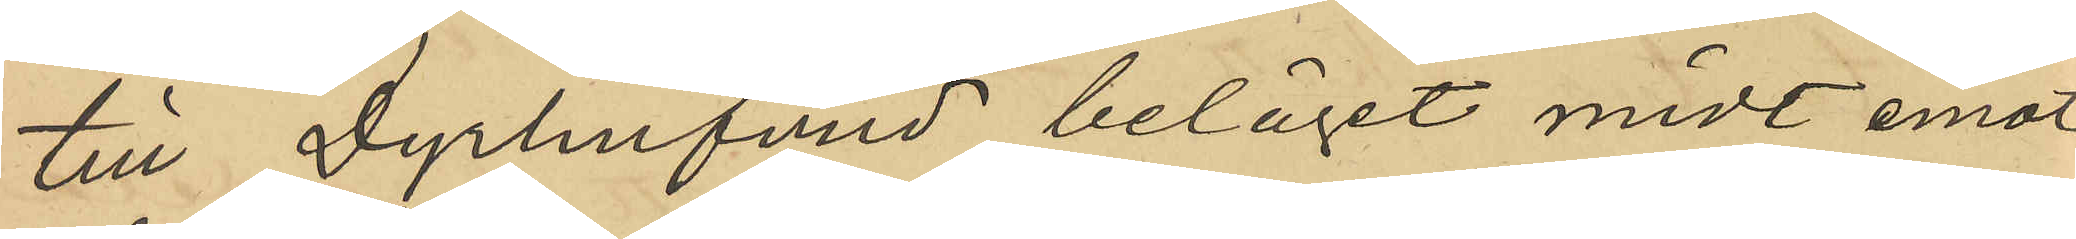till Dyrhufvud beläget midt emot
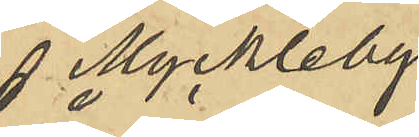Myckleby 
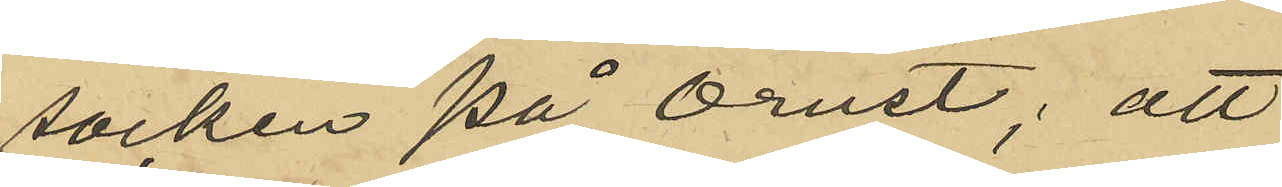socken på Orust; att
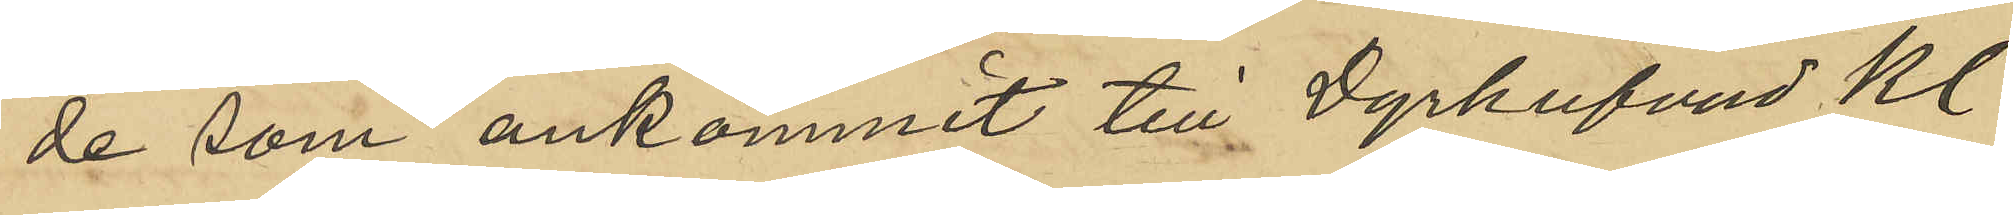de som ankommit till Dyrhufvud Kl.
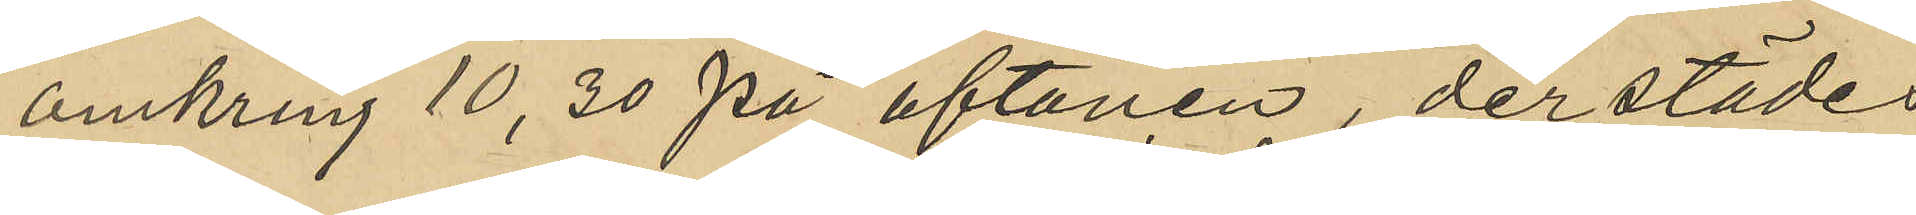omkring 10,30 på aftonen, derstädes
